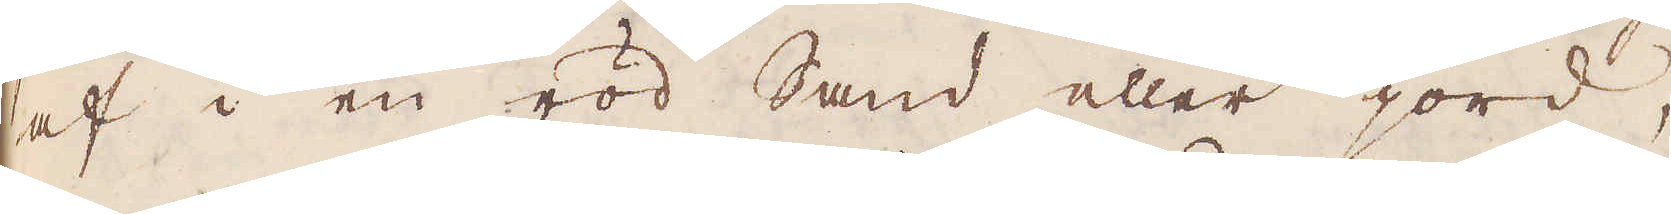af i en röd Sand eller jord,
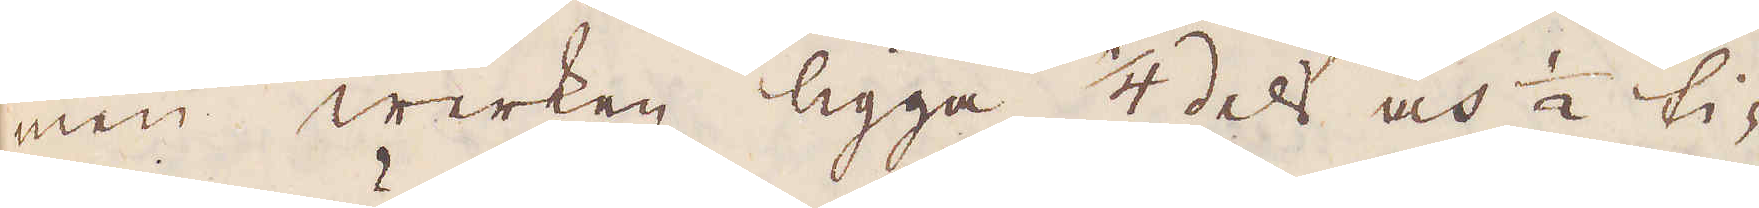men werken ligga 1/4 del och 1/2 ti-
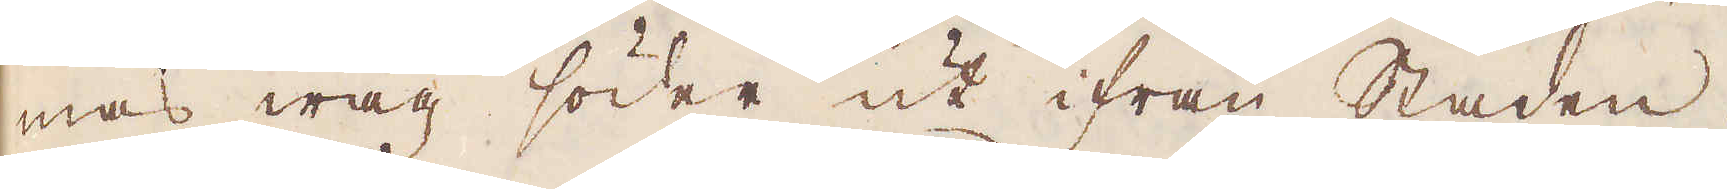mas wäg söder ut ifrån Staden.
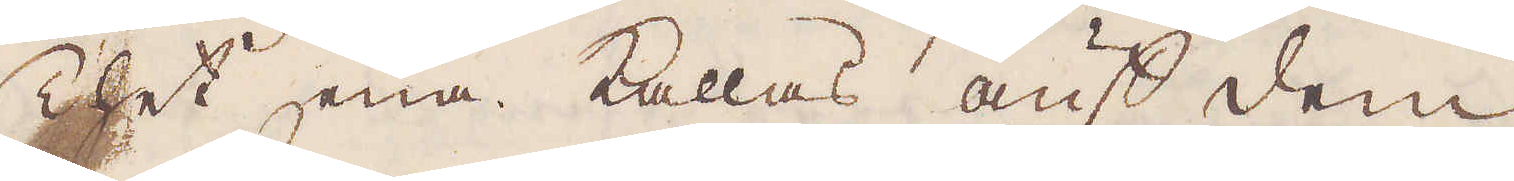Thet ena kallas auf dem
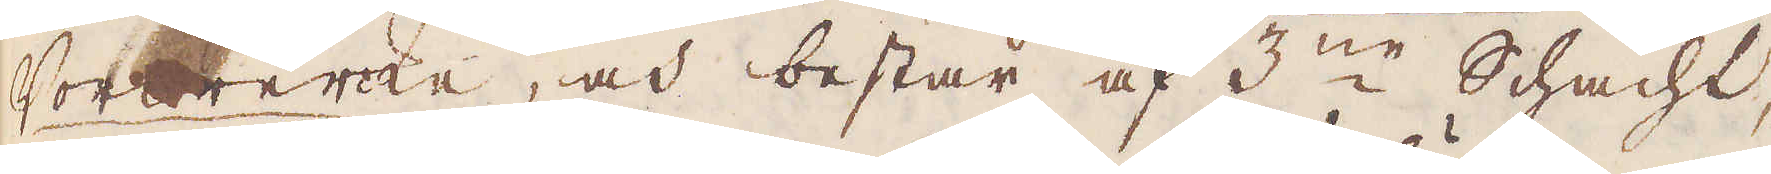Vorwerke, och består af 3:ne Schacht,
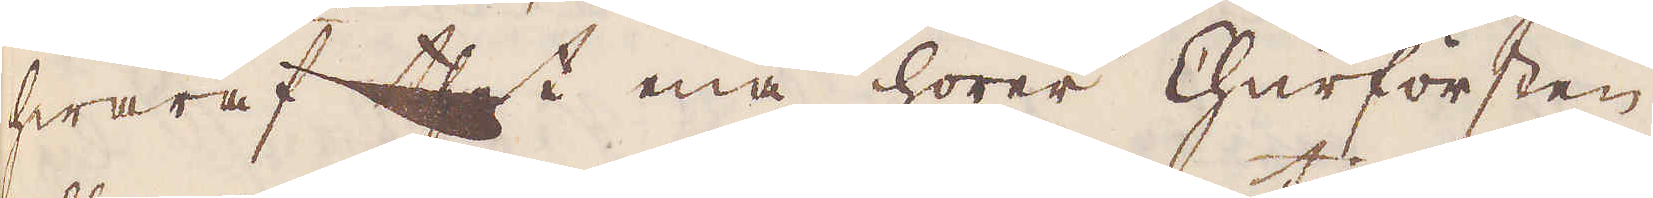hwaraf thet ena hörer Churförsten
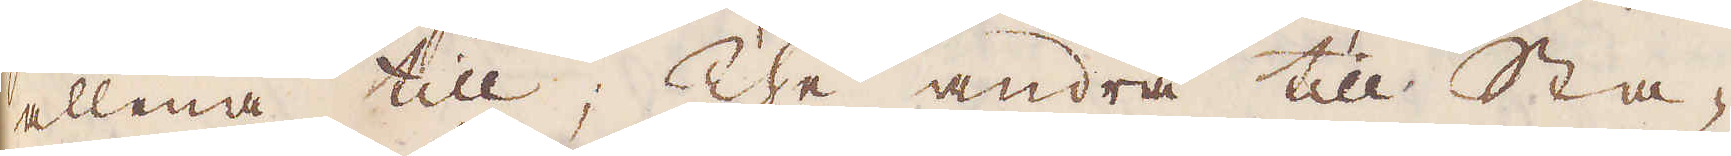allena till; The andra till Sta-
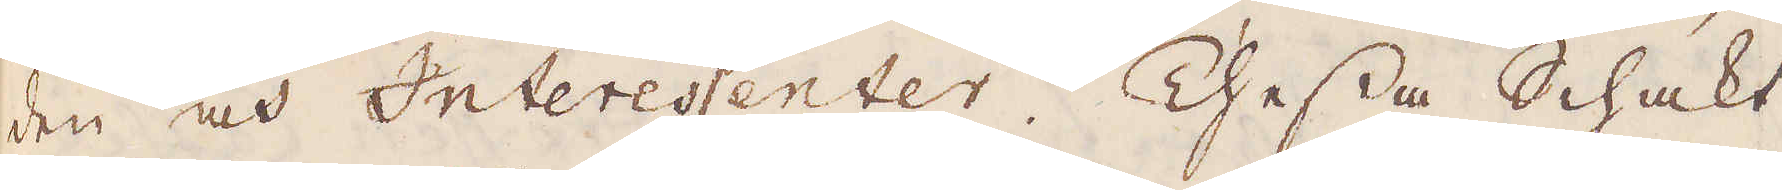den och Interessenter. Thessa Schakt,
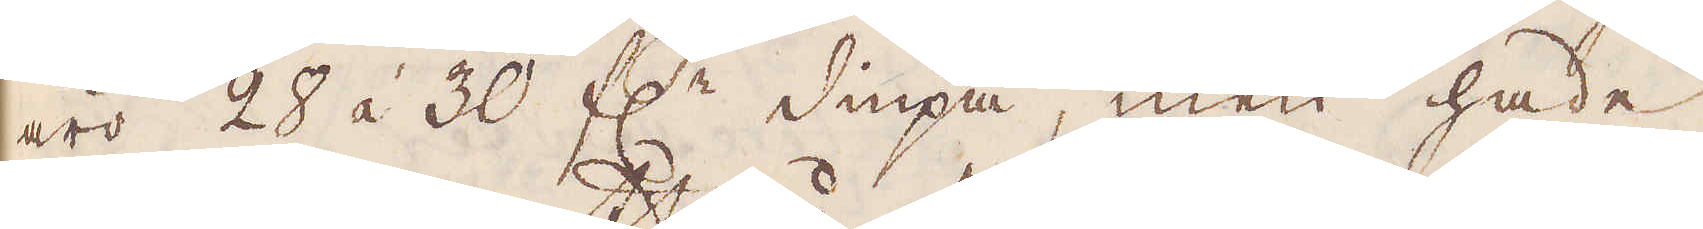äro 28 á 30 f:r diupa, men hade
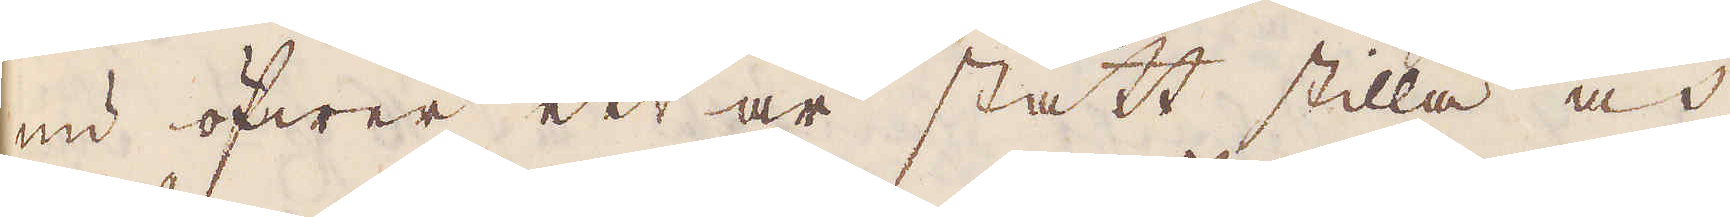nu öfwer ett år stått stilla och
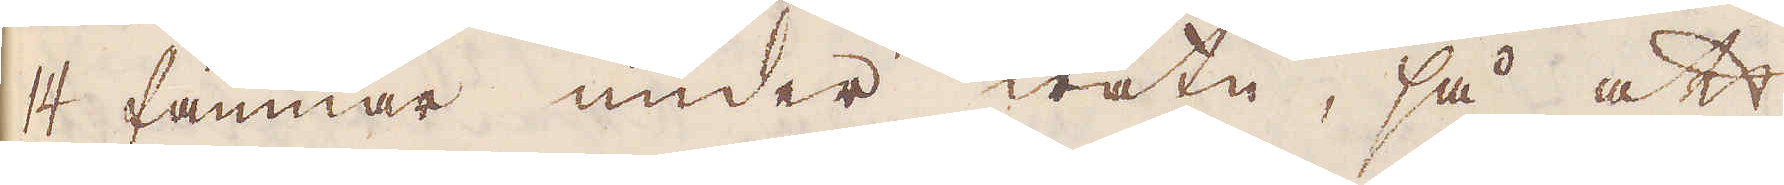14 famnar under watn, så att
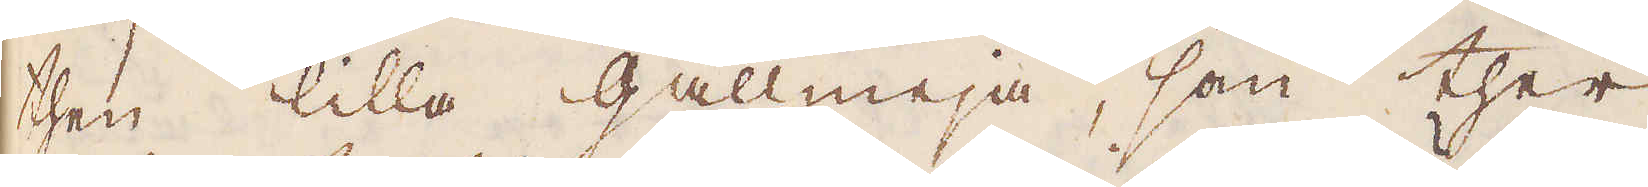then lilla gallmeja, som ther
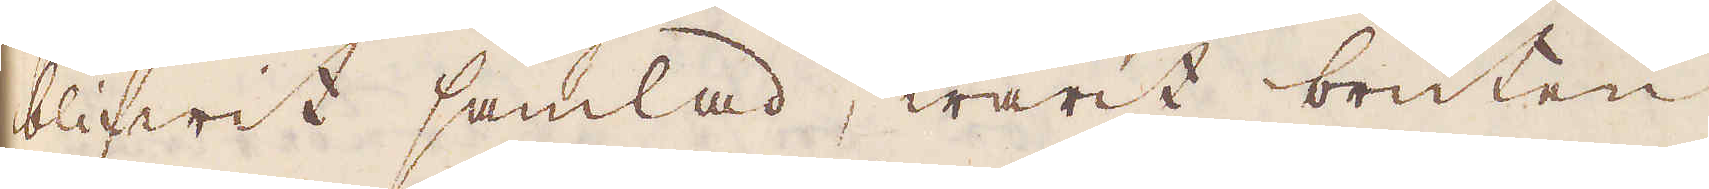blifwit samlad, warit bruten
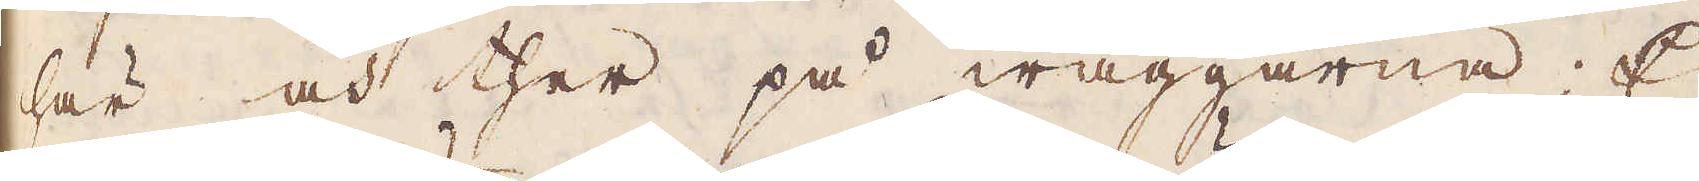här och ther på wäggarna. Ej
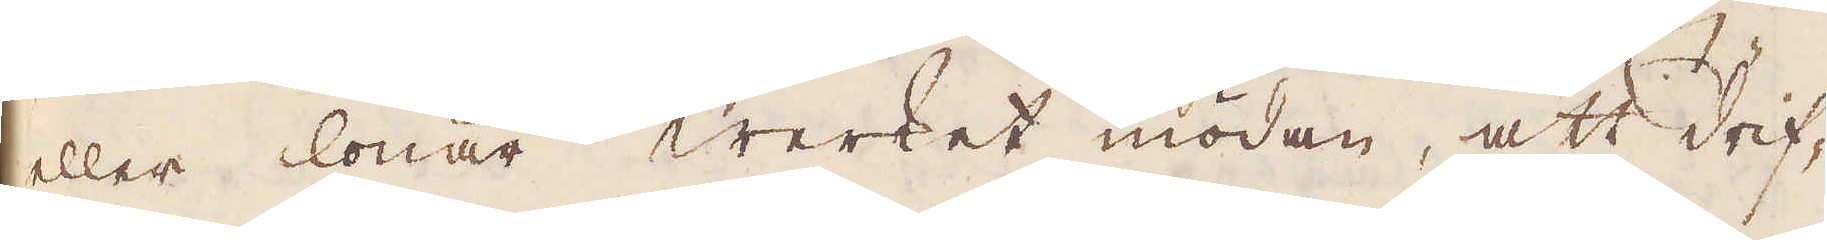eller lönar Werket mödan, att drif-
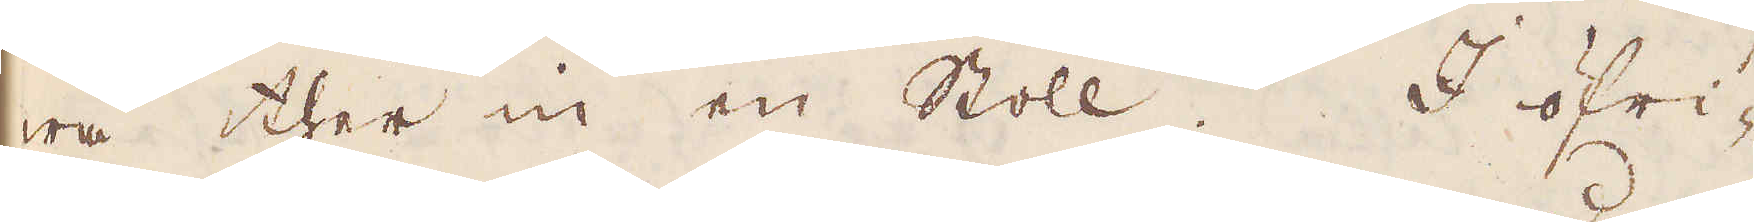wa ther in en Stoll. I öfri-
